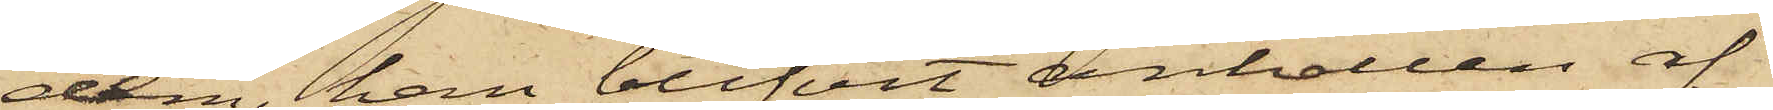dem, han blifvit anhållen af
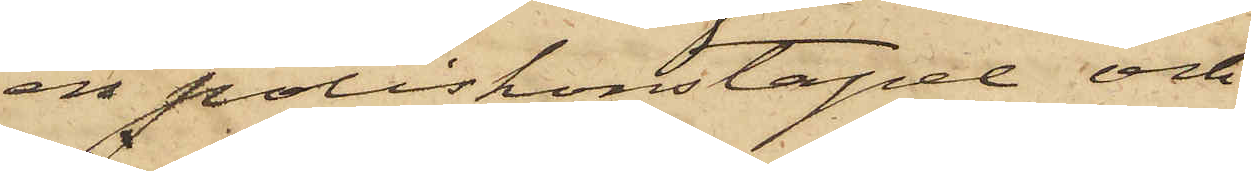en poliskonstapel och
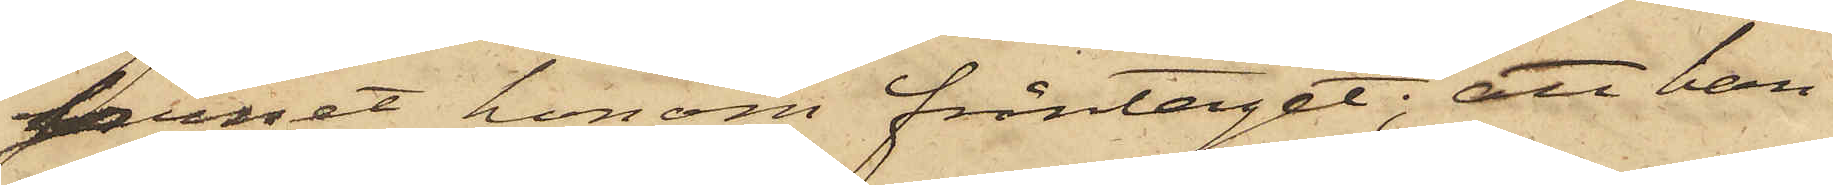Jernet honom fråntaget; att han
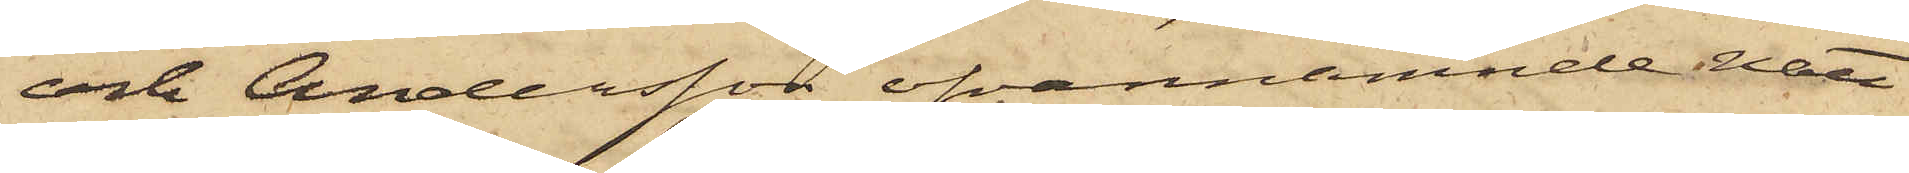och Andersson ofvannämnde natt
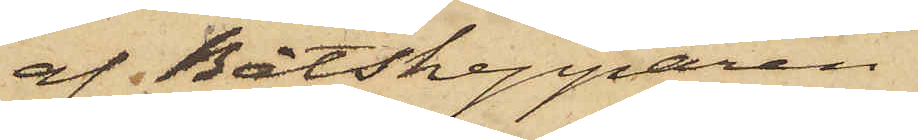af Båtskepparen
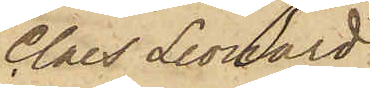Claes Leonard
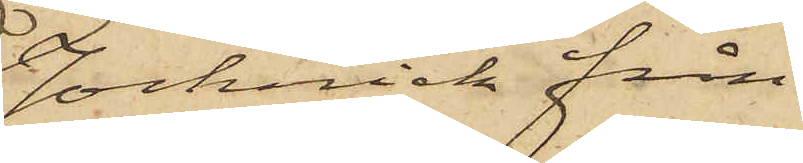Jocknick från
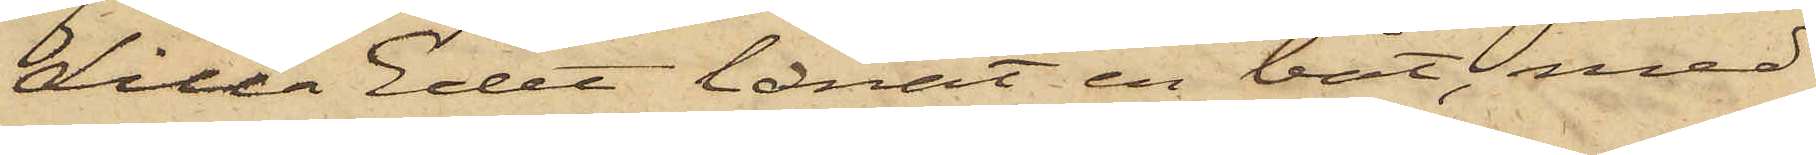Lilla Edet lånat en båt, med
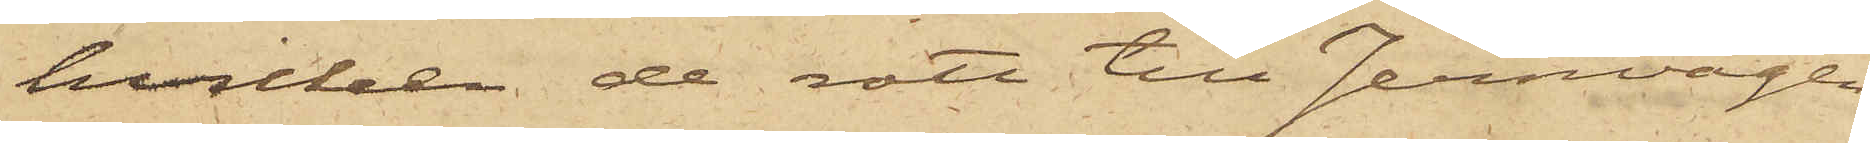hvilken de rott till Jernvågen
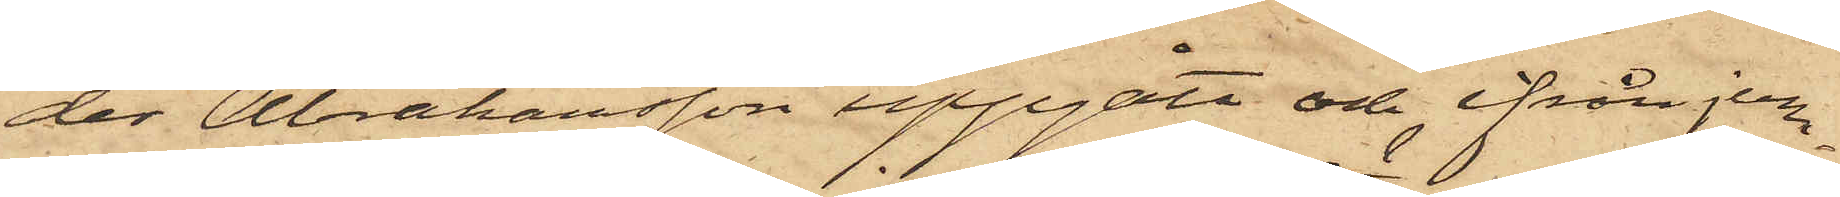der Abrahamsson uppgått och ifrån jern¬
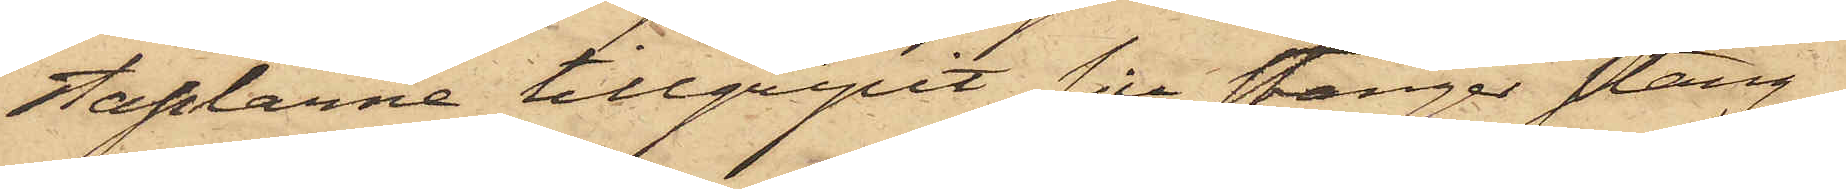staplarne tillgripit sju stänger stång¬
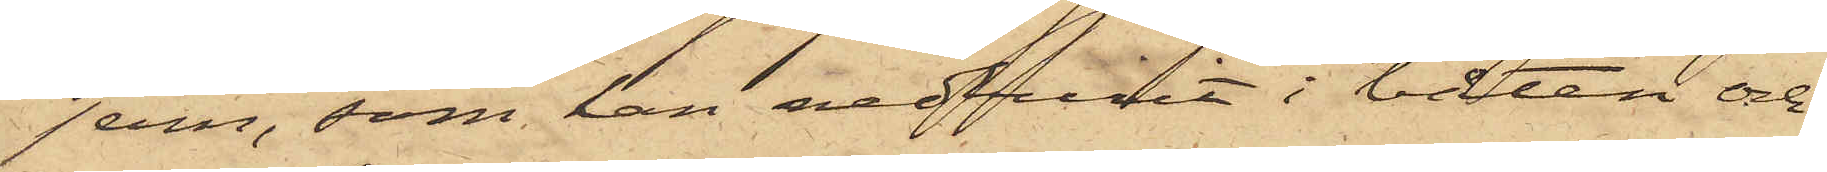jern, som han nedburit i båten och
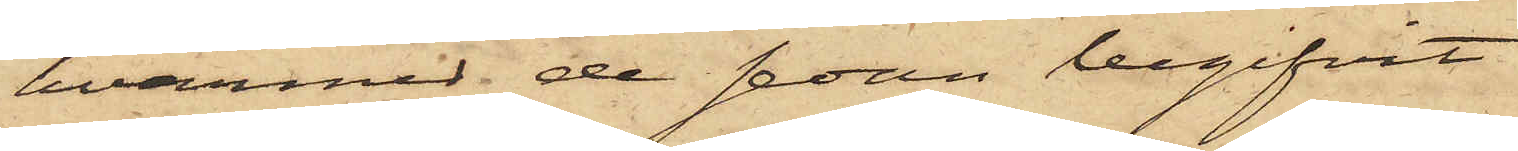hvarmed de sedan begifvit
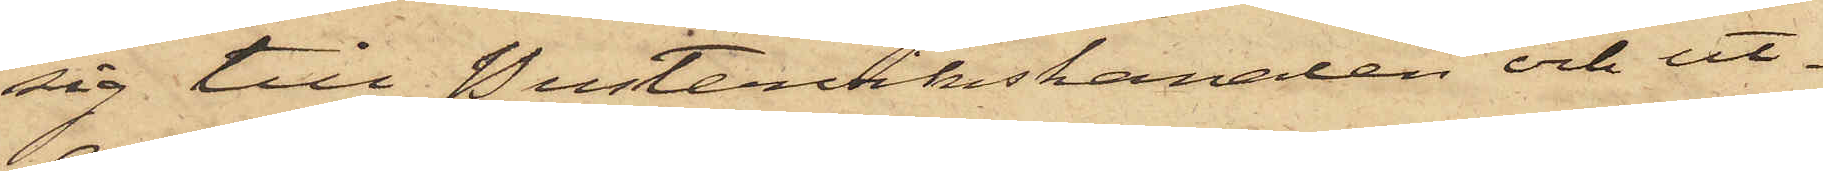sig till Pustervikskanalen och ut¬
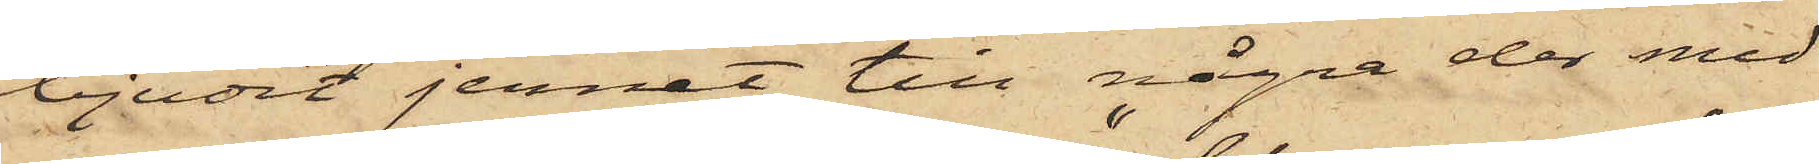bjudit jernet till några der med
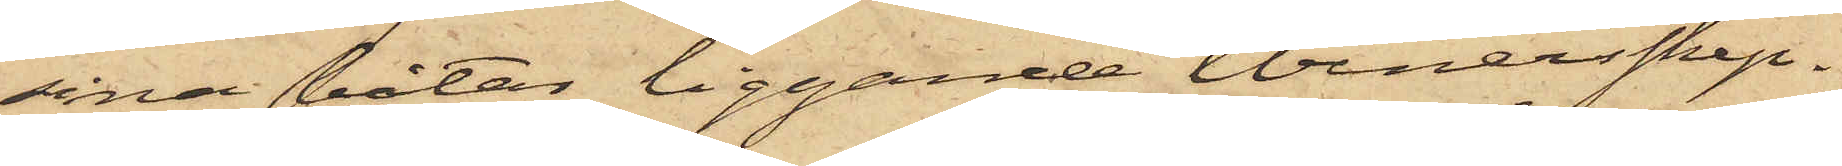sina båtar liggande "Venersskep¬
